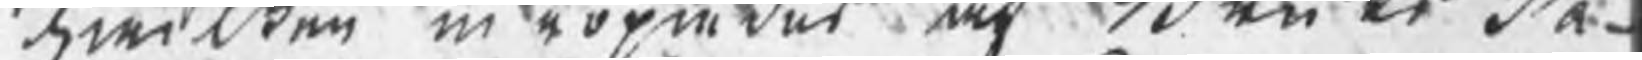Gwi Wen in poondes och Benke dn¬
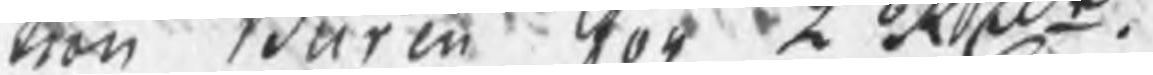nen Burin KotK vbe.
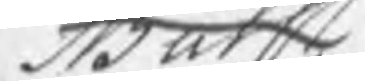Sath
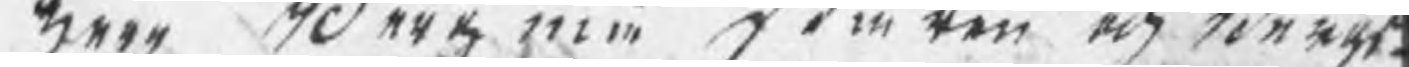ar Sanmu Temren och rinnas¬
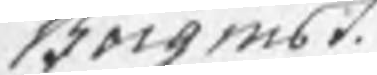Borgmbs.
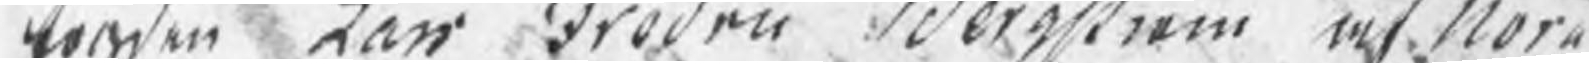toren Lan Froden Seriom af Nora
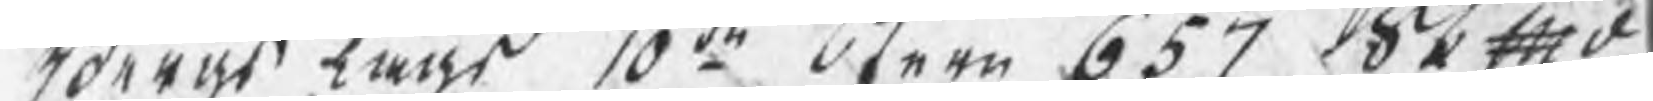Brras lags 10:dto Otern 631 0t f d¬ 
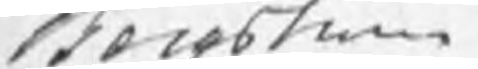Hocobmmin
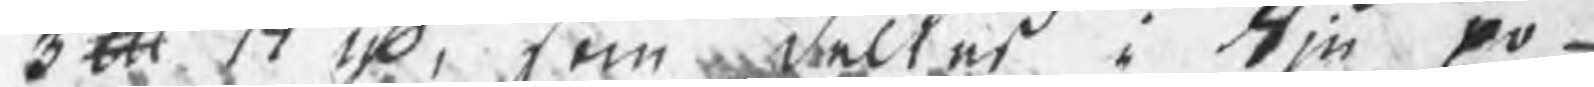300 171, kom wälteti Om ro¬
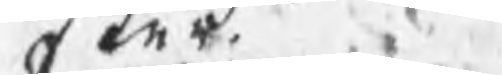Cder.
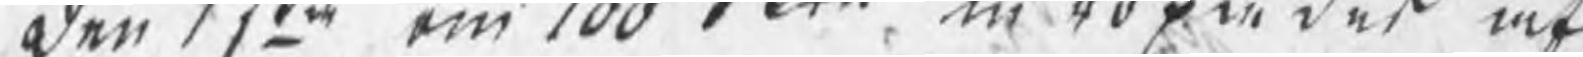den som om 100 Fett eu ropu deß af 
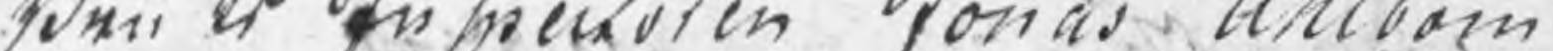dden er en Meuoren tonas Anldom
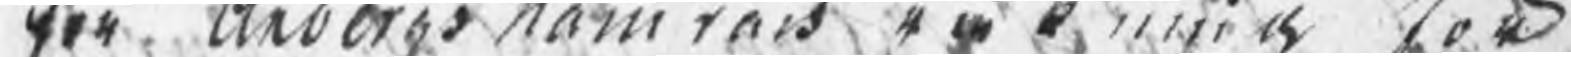der Anderos Nämnes på kkbot
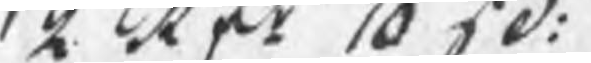2 aft 1050. 
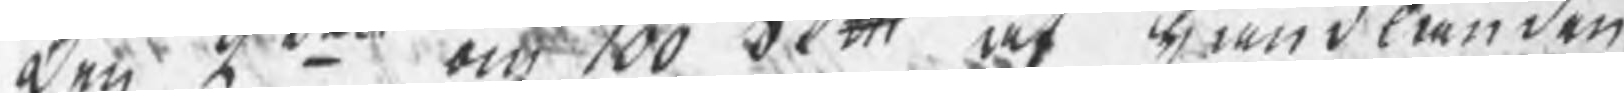den 2o oc 100 dett, at kundlanden 
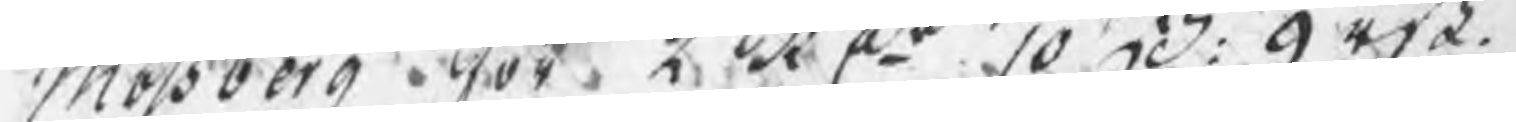Mölsberg ot. 2 b:oo 10 H. Atsa. 
